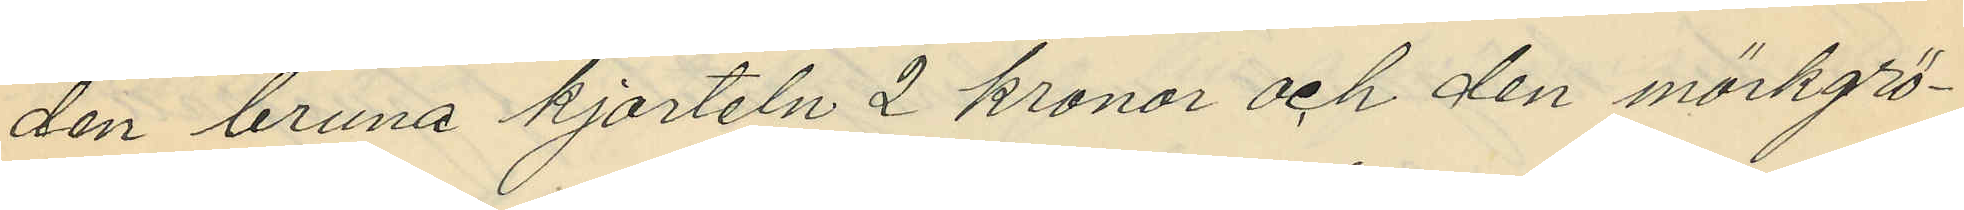den bruna kjorteln 2 kronor och den mörkgrö¬
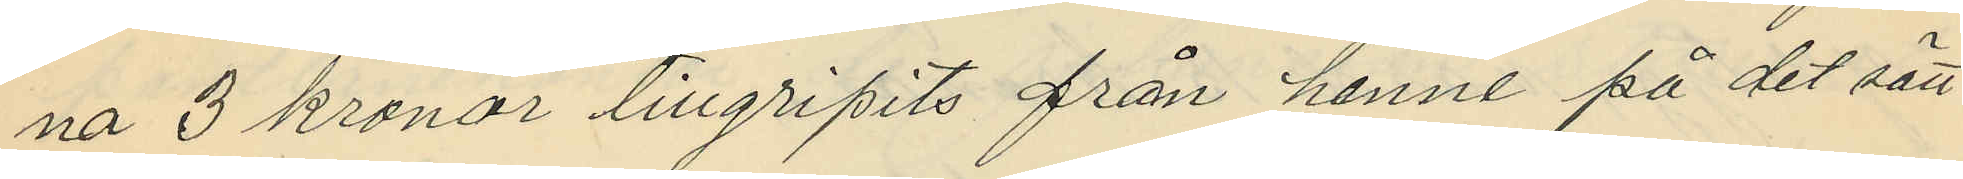na 3 kronor tillgripits från henne på det sätt
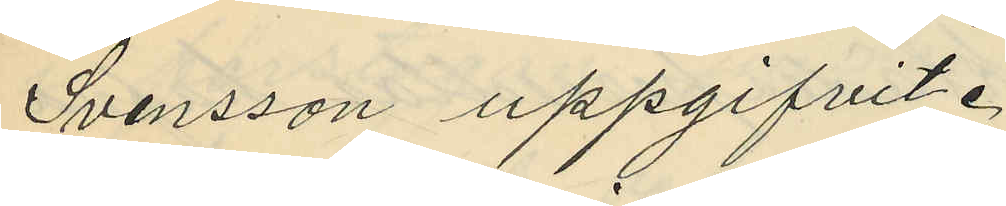Svensson uppgifvit.
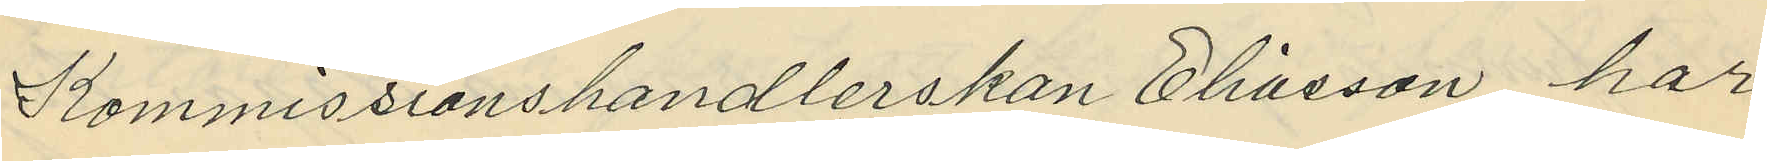Kommissionshandlerskan Eliasson har
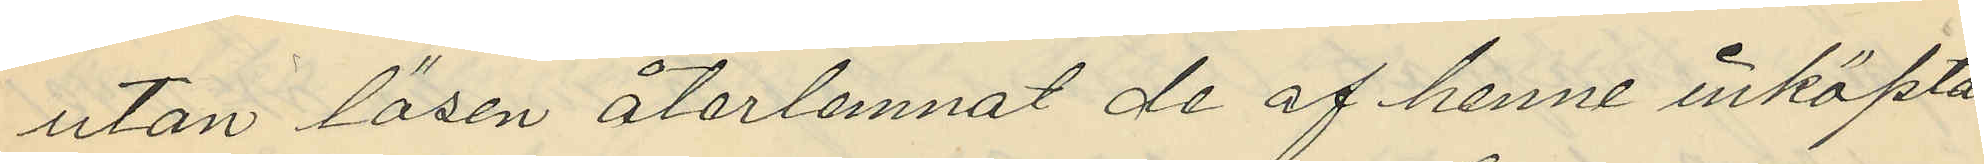utan lösen återlemnat de af henne inköpta
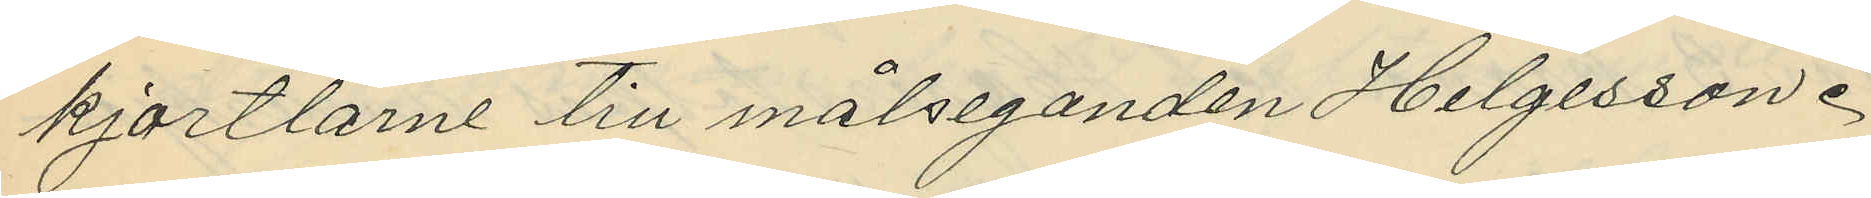kjortlarne till målseganden Helgesson.
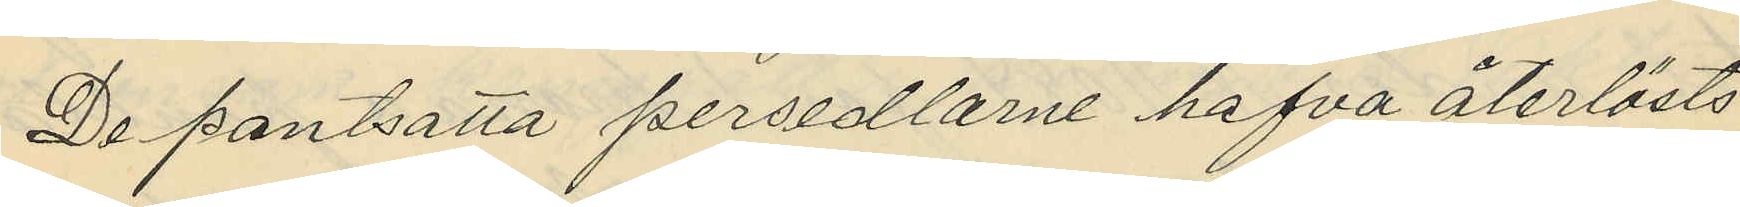De pantsatta persedlarne hafva återlösts
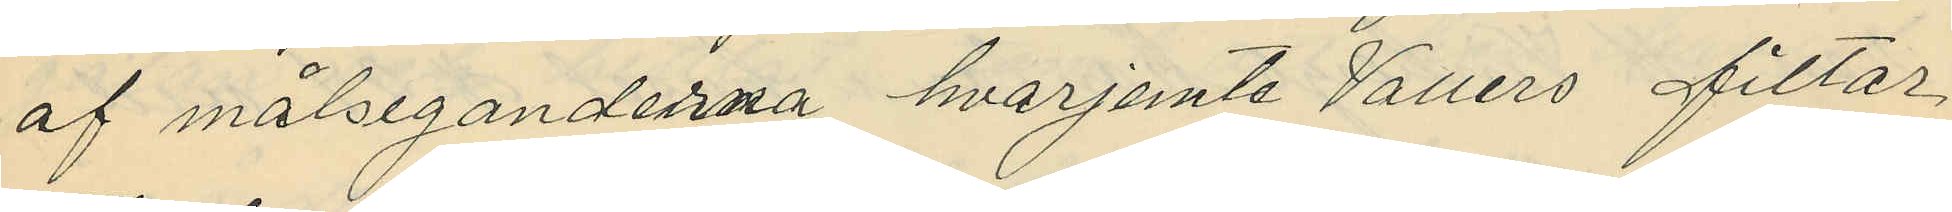af målseganderna hvarjemte Vallers filtar
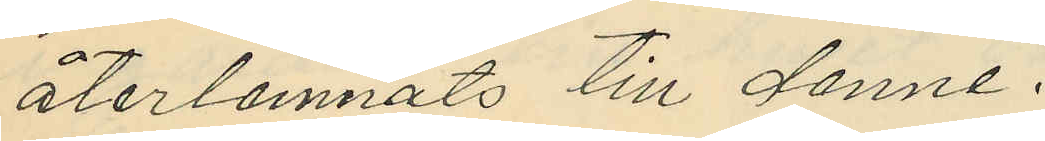återlemnats till denne.
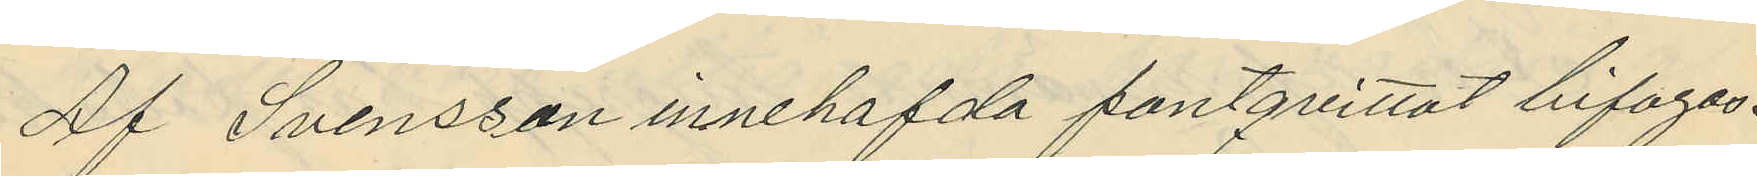Af Svensson innehafda pantquittot bifogas.
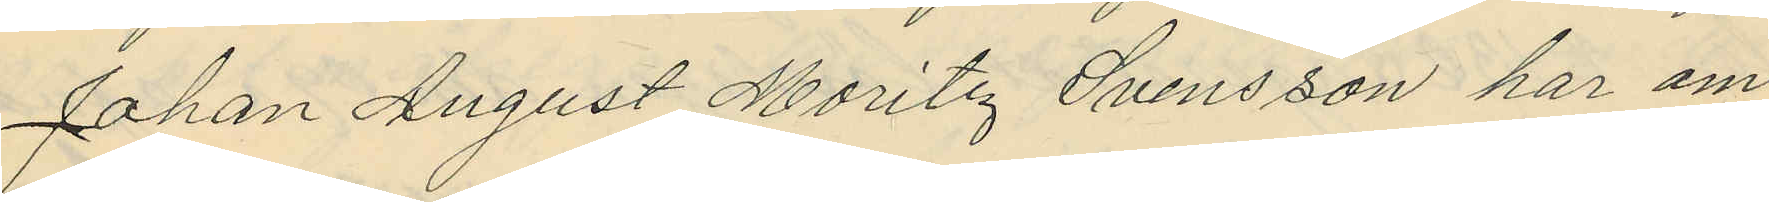Johan August Mauritz Svensson har om
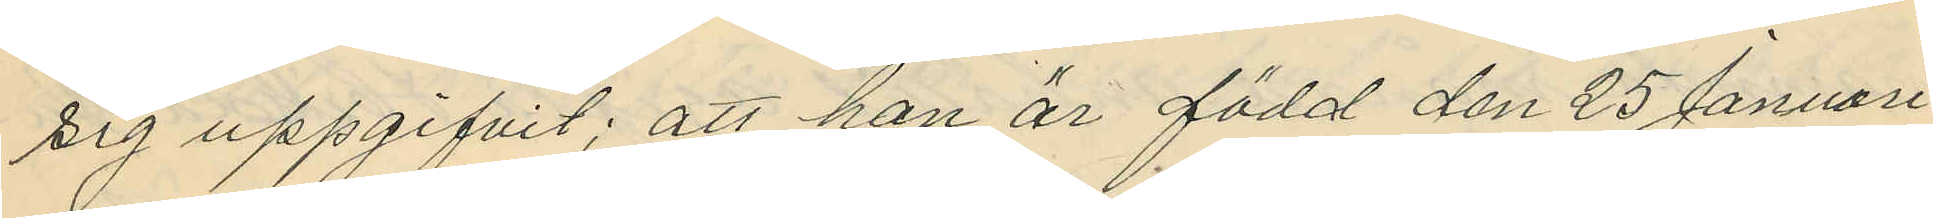sig uppgifvit; att han är född den 25 Januari
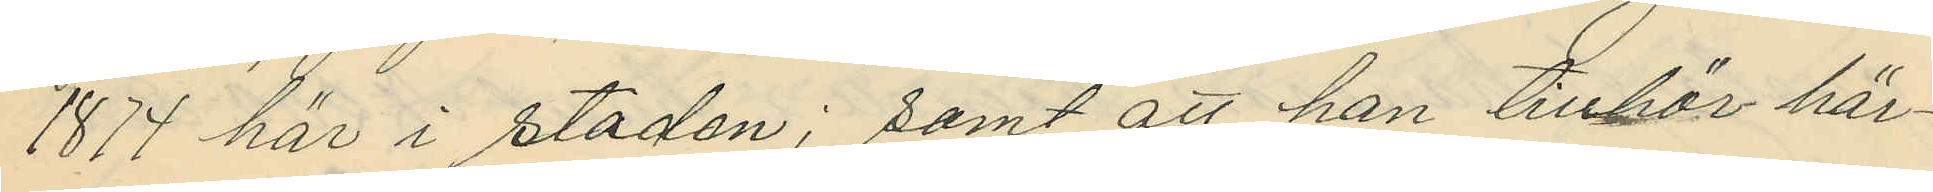1877 här i staden; samt att han tillhör här¬
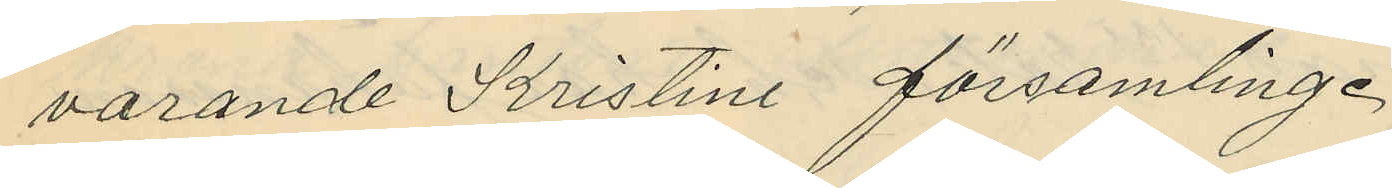varande Kristine församling.
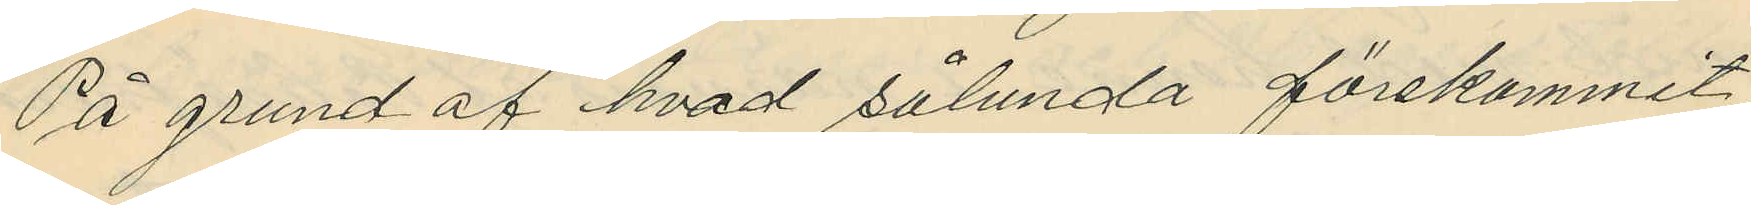På grund af hvad sålunda förekommit
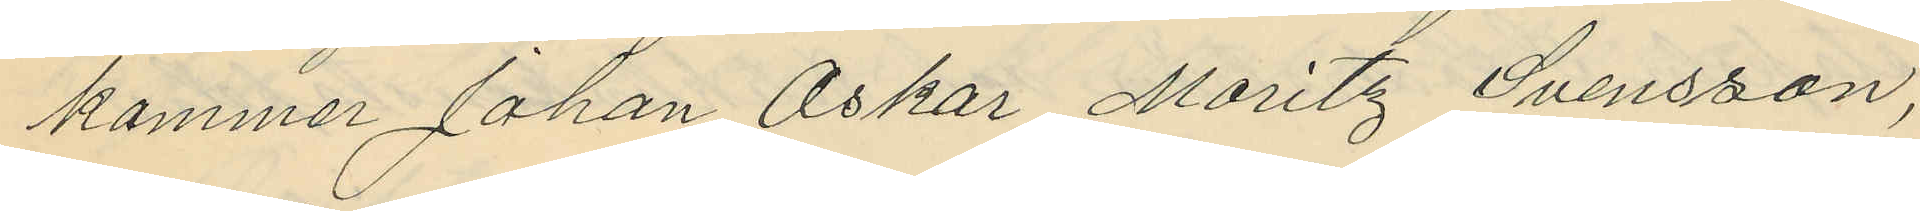kommer Johan Oskar Moritz Svensson,
